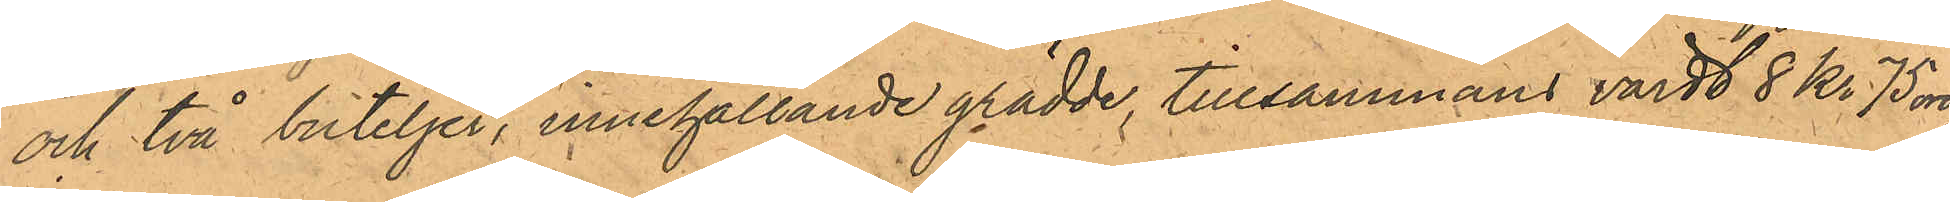och två buteljer, innehållande grädde, tillsammans värdt 8 Kr 75 öre,
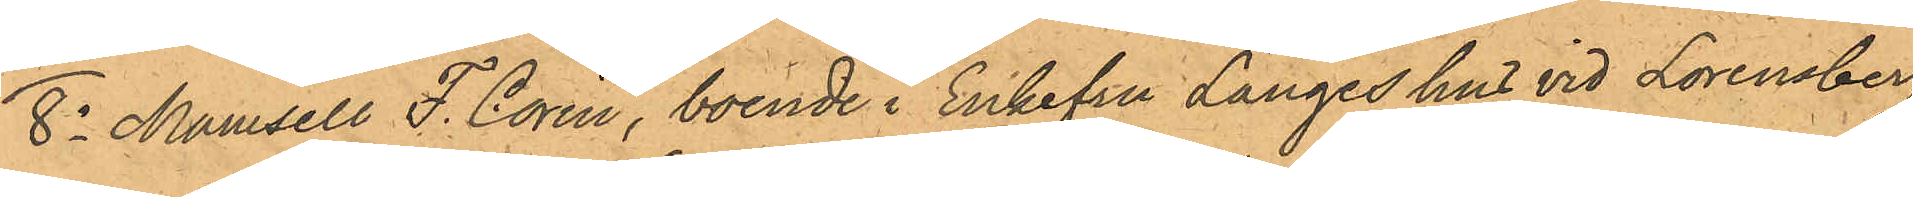8o Mansell F. Corin, boende i Enkefru Langes hus vid Lorensberg,
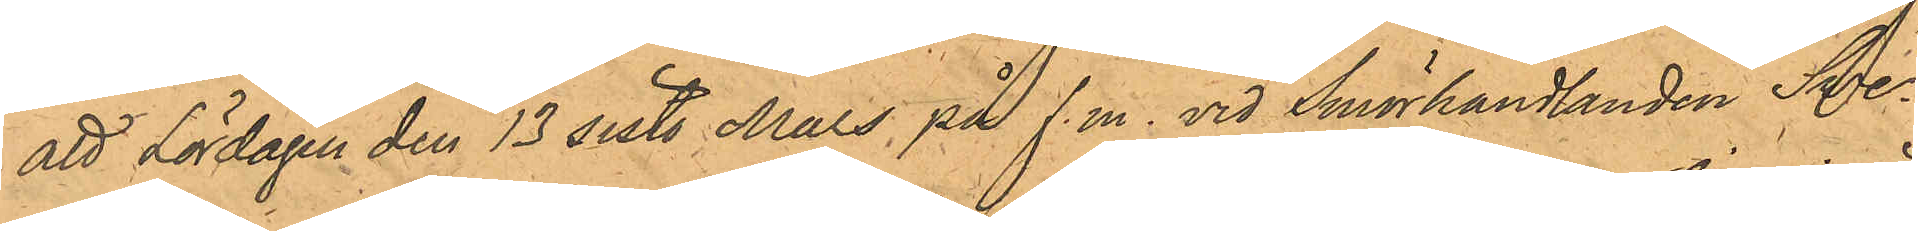att Lördagen den 13 sist. Mars på f.m. vid Smörhandlanden Sve¬
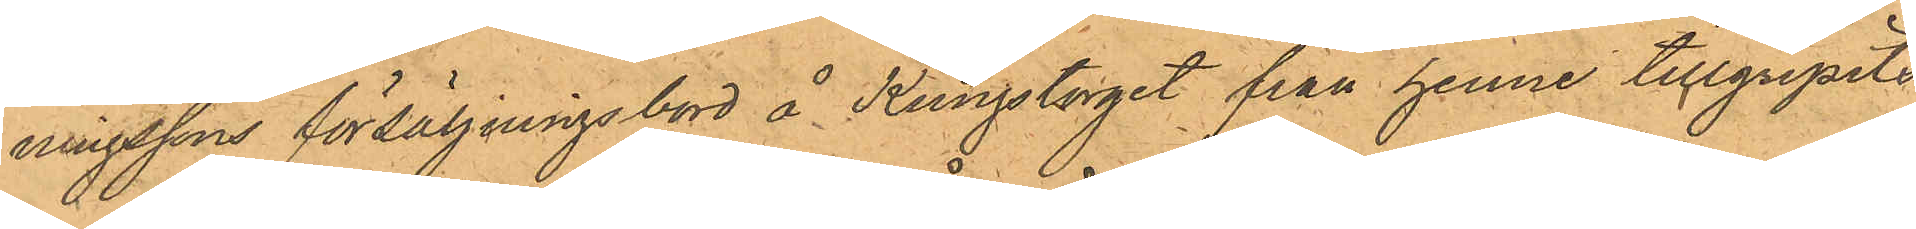ningssons försäljningsbord å Kungstorget från henne tillgripits
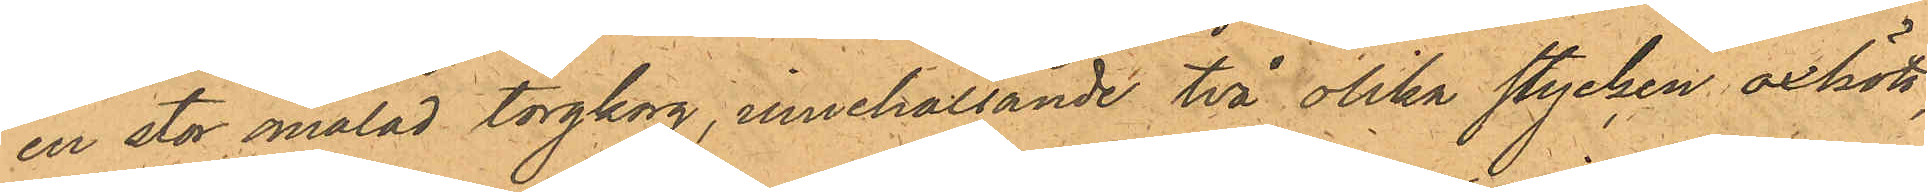en stor omålad torgkorg, innehållande två olika stycken oxkött,
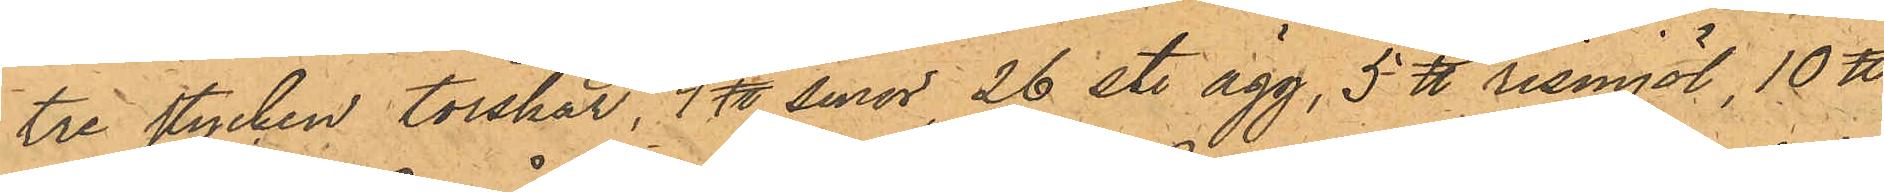tre stycken torskar, 4 ℔ smör, 26 st. ägg, 5 ℔ rismjöl, 10 ℔
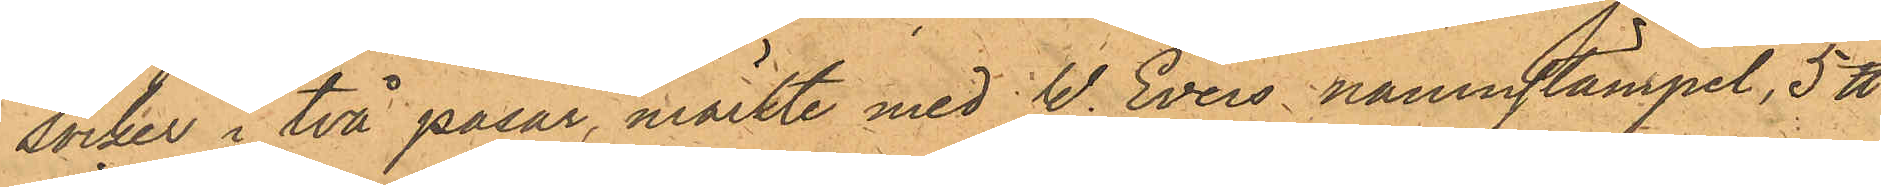socker i två påsar, märkte med W. Evers namnstämpel, 5 ℔
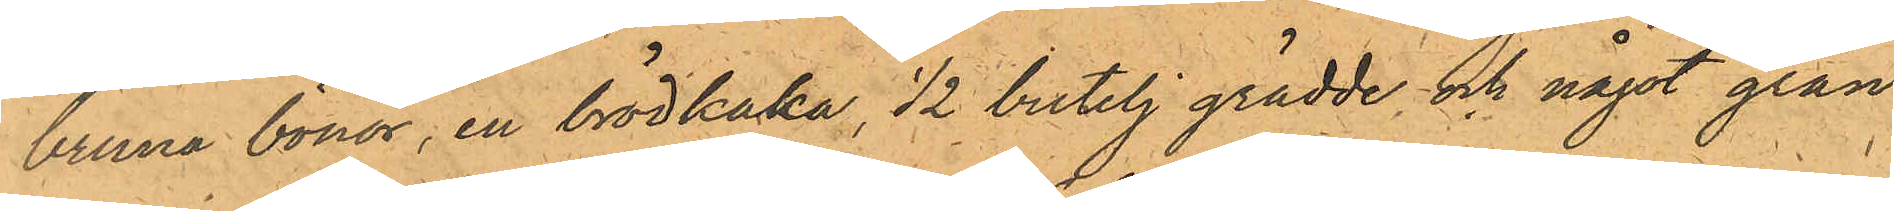bruna bönor, en brödkaka, 1/2 butelj grädde, och något gran¬
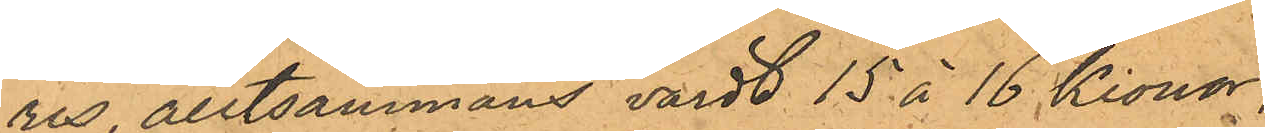ris, alltsammans värdt 15 á 16 Kronor;
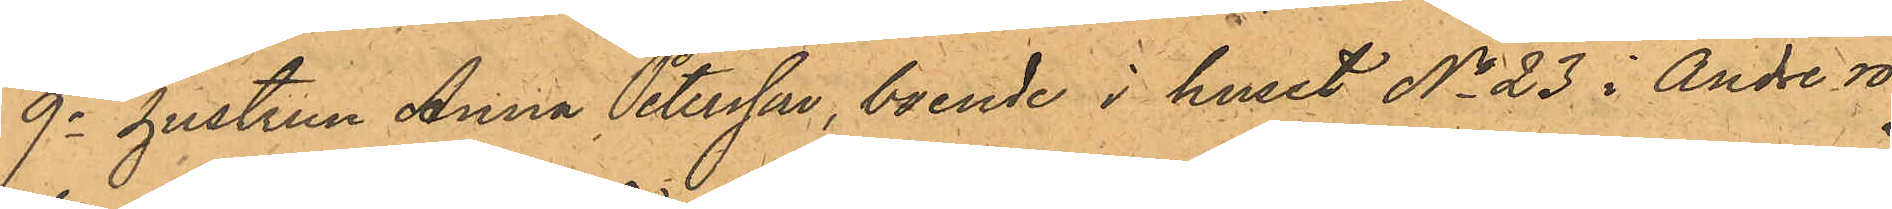9o hustrun Anna Petersson, boende i huset No 23 i Andre ro
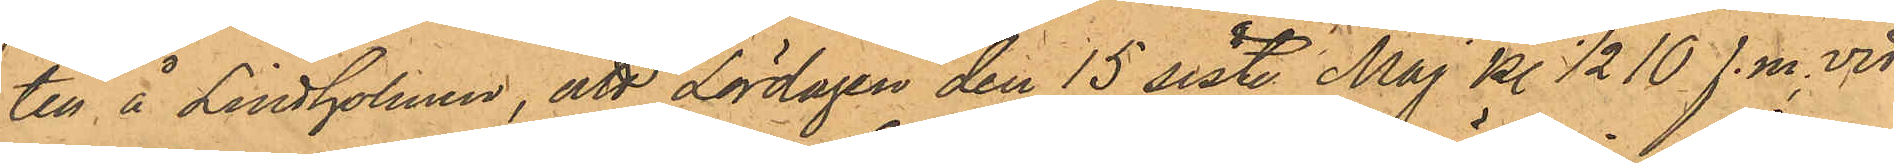ten å Lindholmen, att Lördagen den 15 sist. Maj kl 1/2 10 f.m. vid
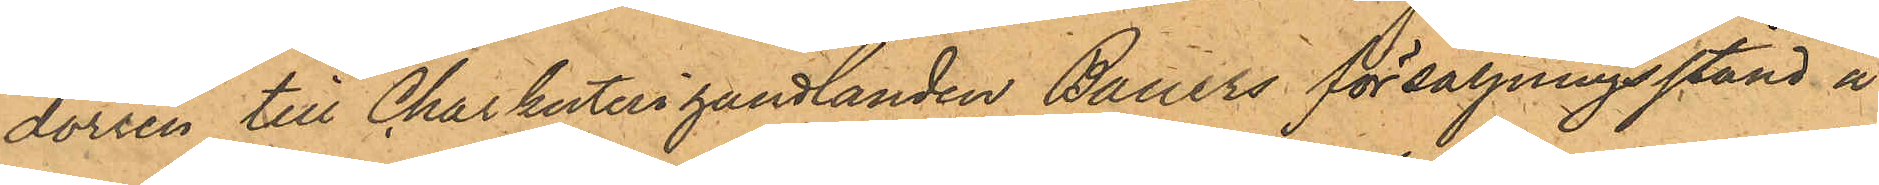dörren till Charkuterihandlanden Bauers försäljningsstånd å
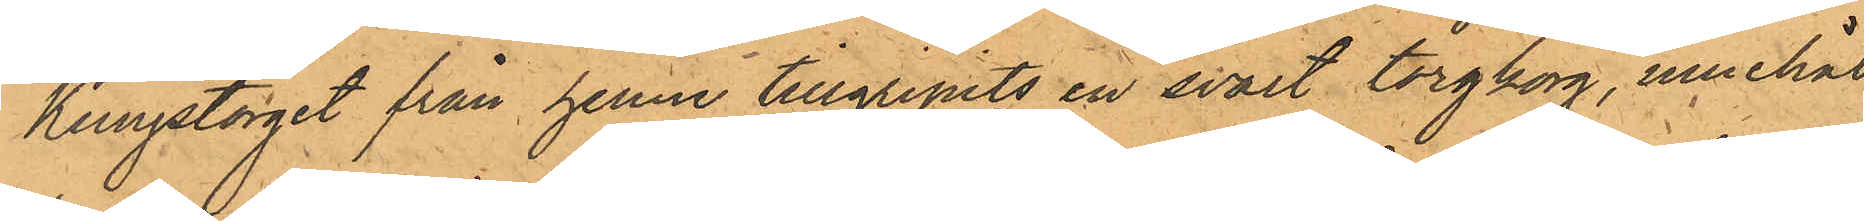Kungstorget från henne tillgripits en svart torgborg, innehål¬
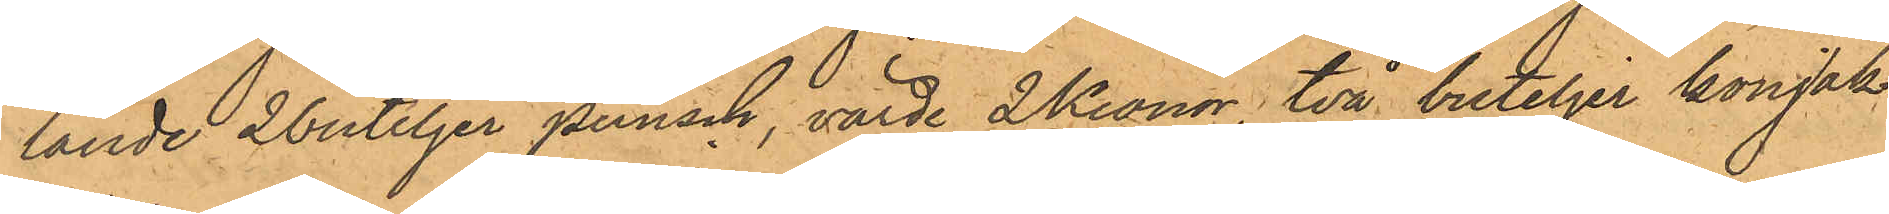lande 2buteljer punsch, värde 2 Kronor, två buteljer konjak,
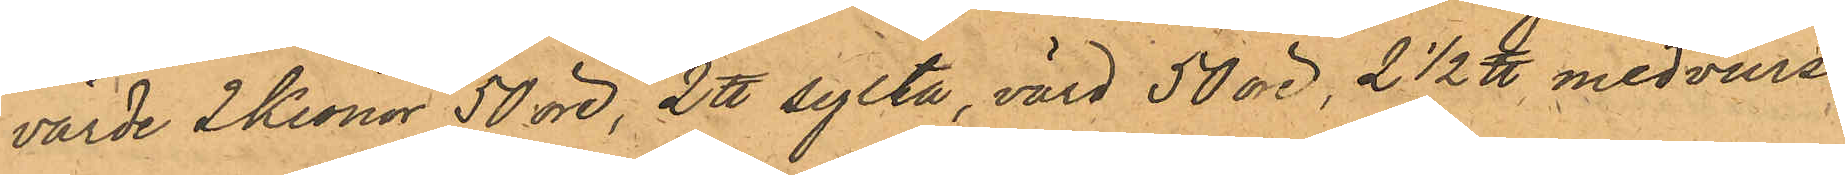värde 2 Kronor 50 öre, 2 ℔ sylta, värd 50 öre, 2 1/2 ℔ medvurst,
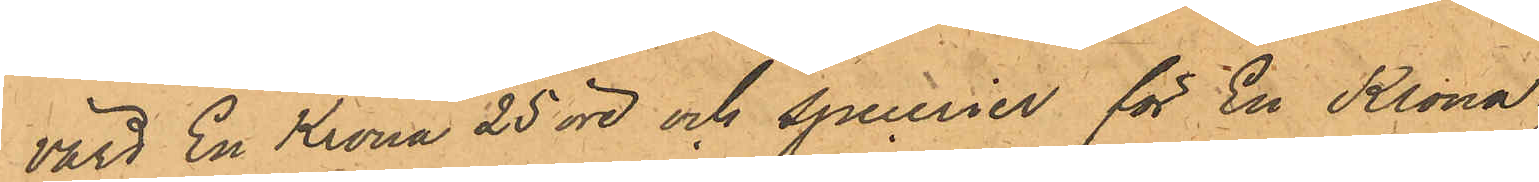värd En Krona 25 öre och specerier för En Krona.
